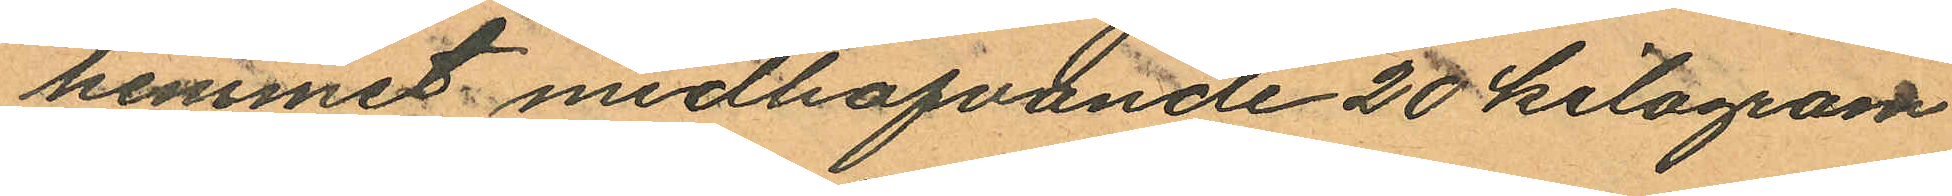hemmet medhafvande 20 kilogram
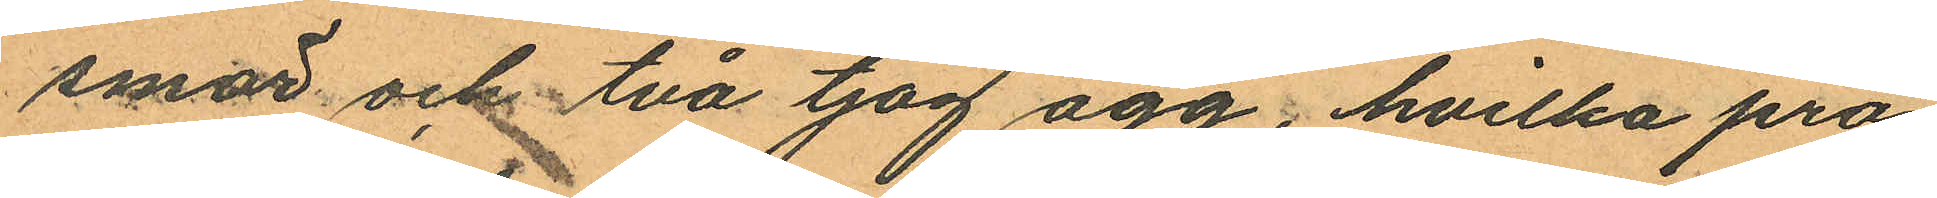smör och två tjog ägg, hvilka pro¬
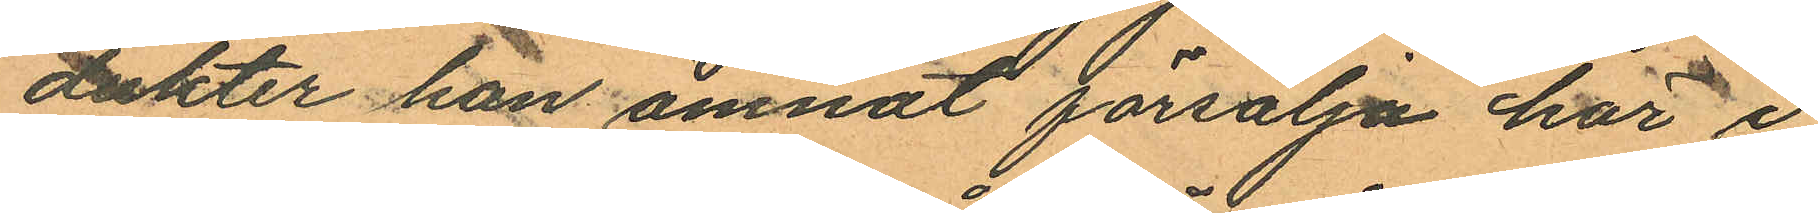dukter han ämnat försälja här i
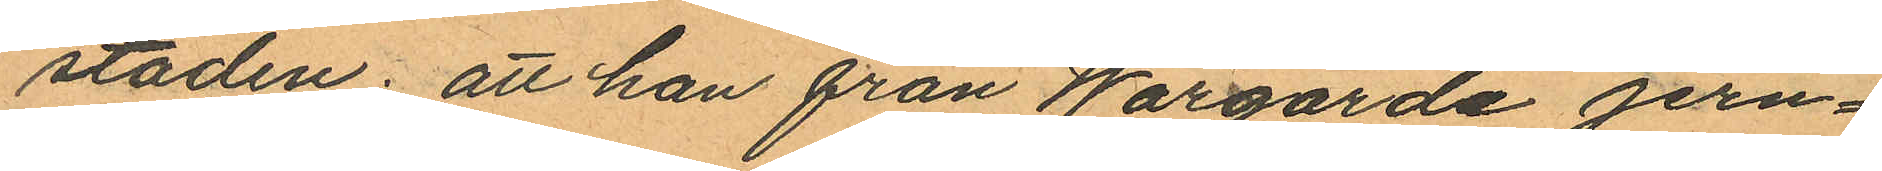staden; att han från Wårgårda jern¬
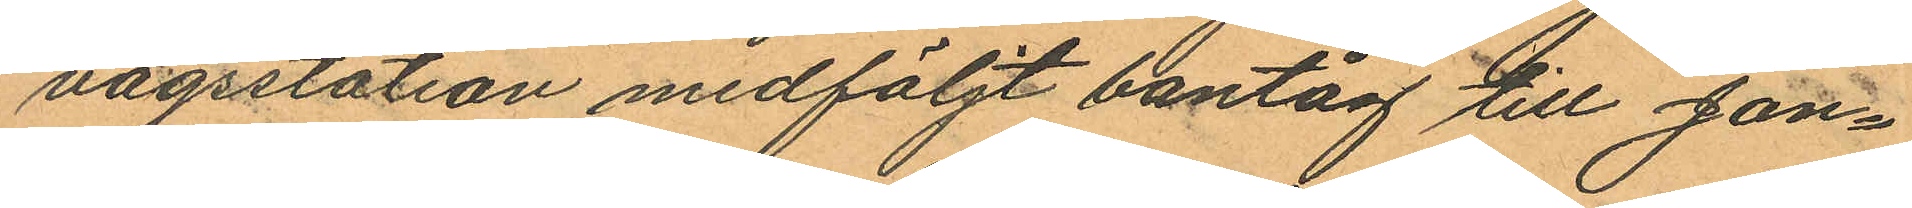vägsstation medföljt bantåg till Jon¬
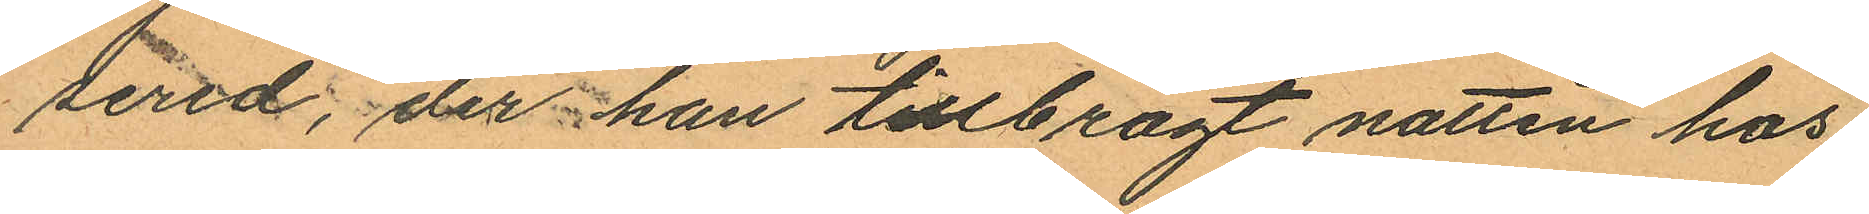sered, der han tillbragt natten hos
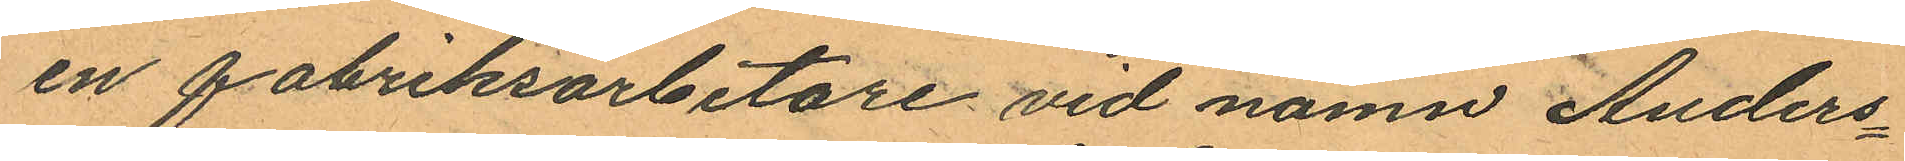en fabriksarbetare vid namn Anders¬
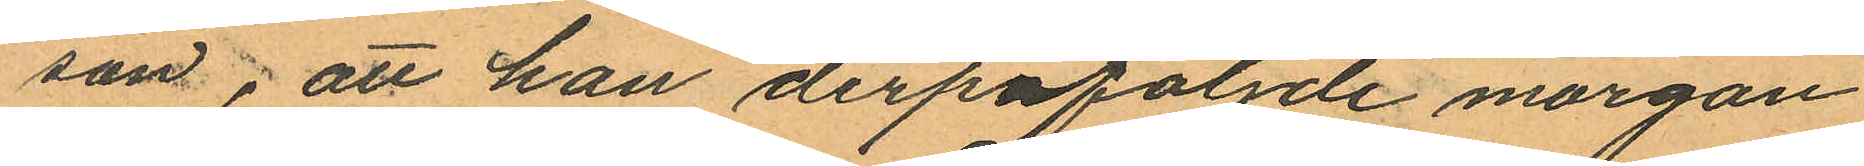son; att han derpåföljde morgon
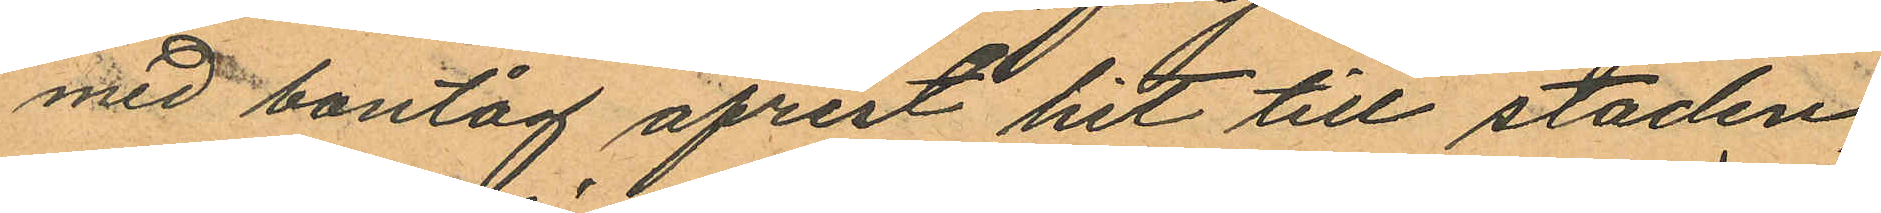med bantåg afrest hit till staden,
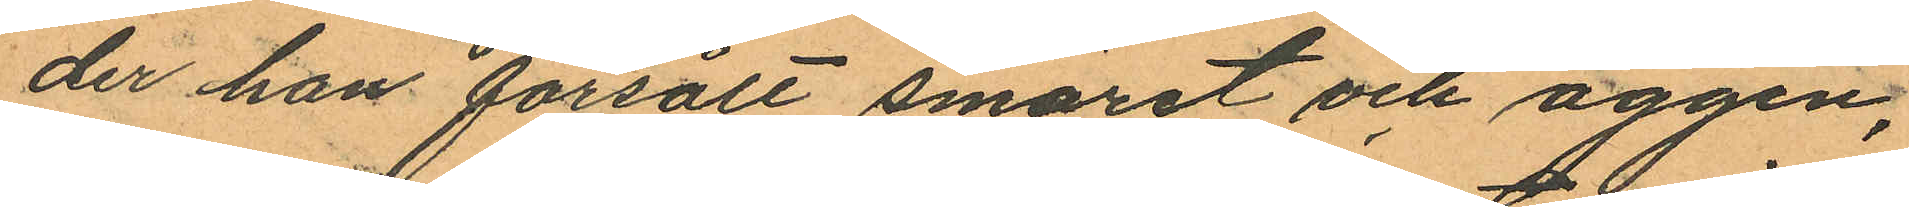der han försålt smöret och äggen,
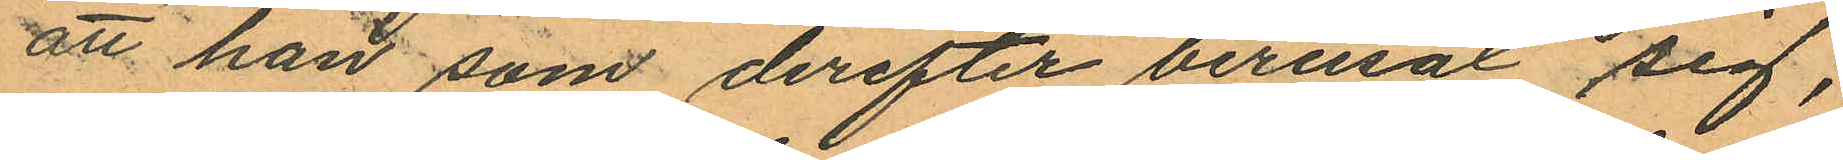att han som derefter berusat sig,
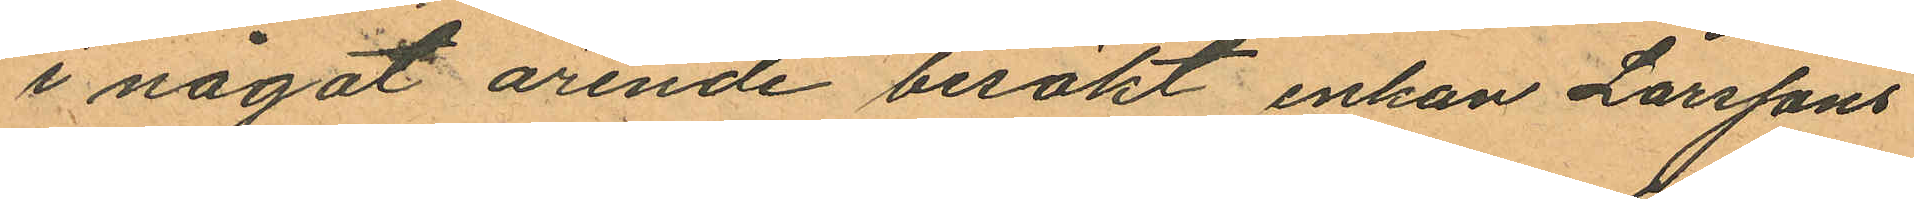i något ärende besökt enkan Larssons
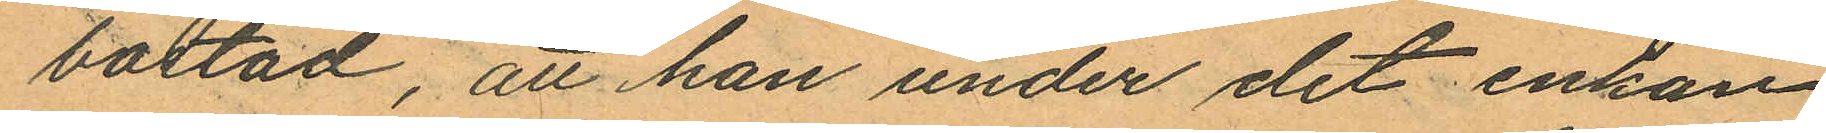bostad, att han under det enkan
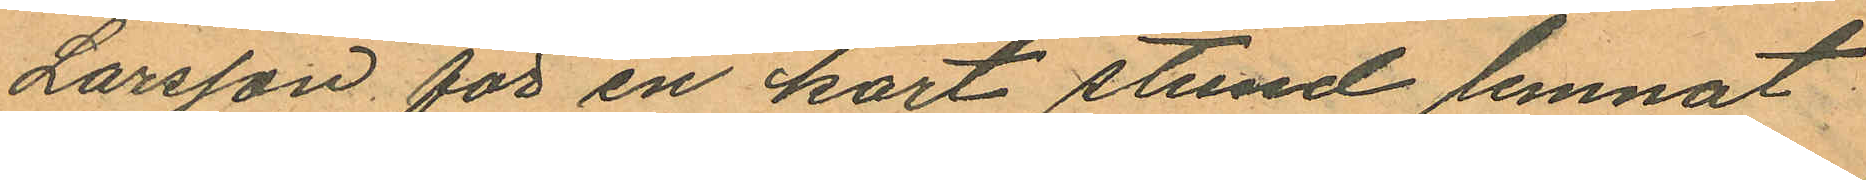Larsson för en kort stund lemnat
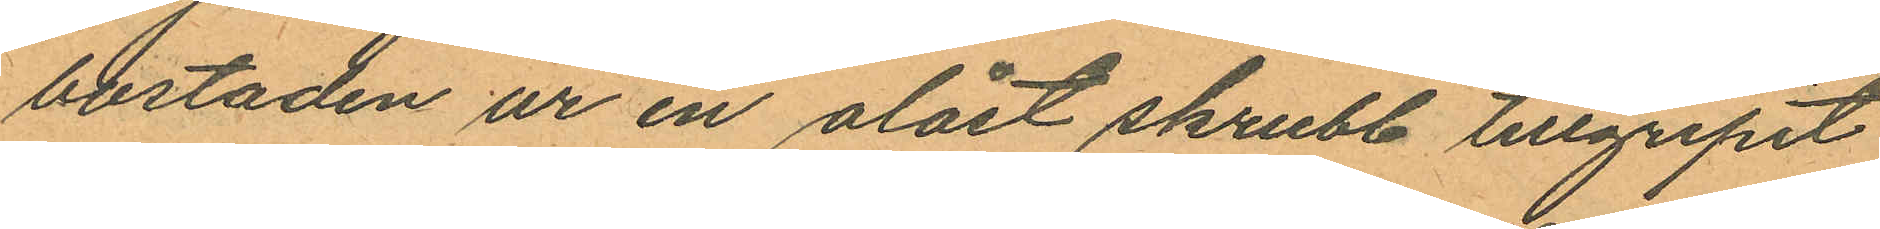bostaden ur en olåst skrubb tillgripit
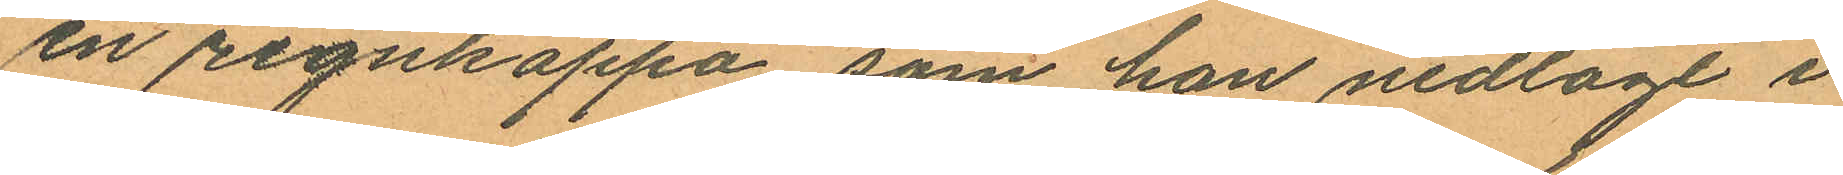en regnkappa som han nedlagt i
